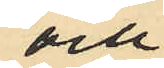och
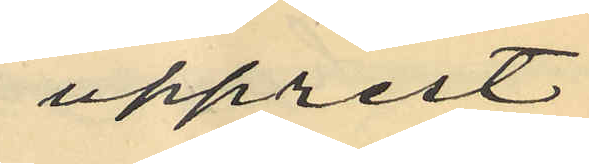upprest
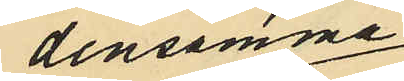densamma
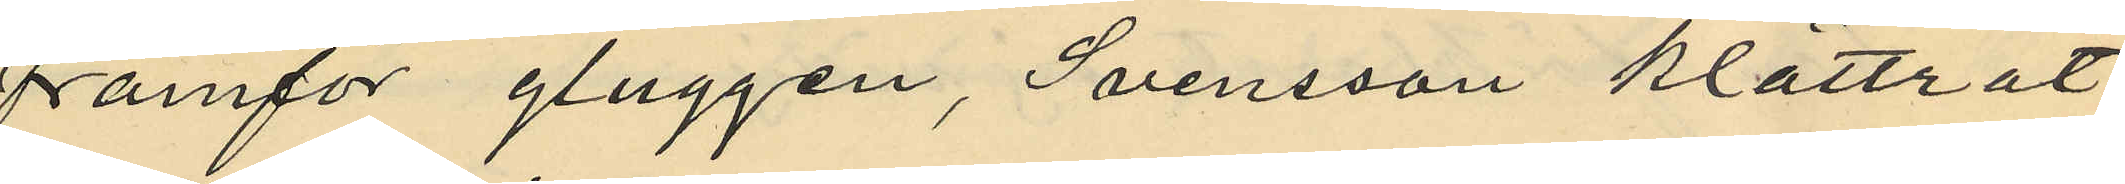framför gluggen, Svensson klättrat
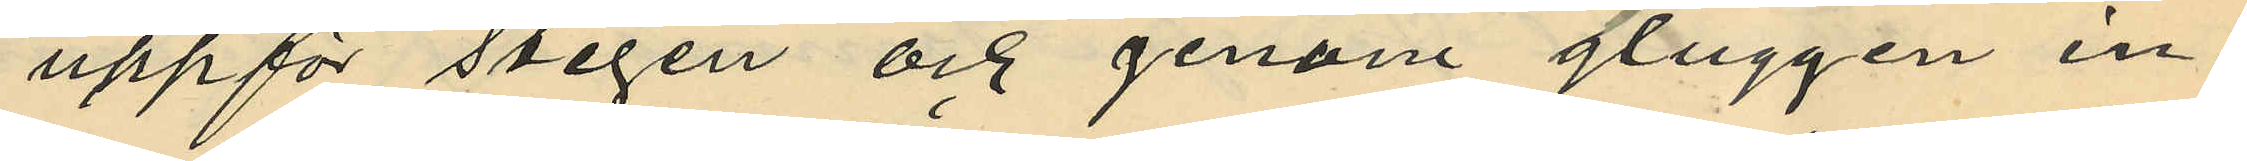uppför stegen och genom gluggen in¬
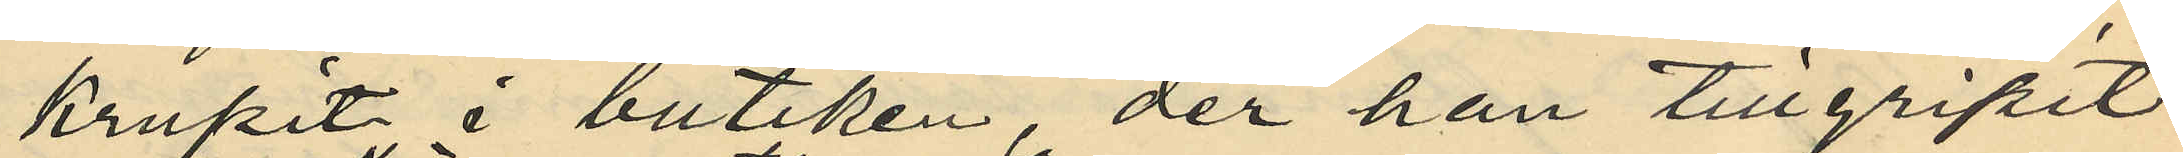krupit i butiken, der han tillgripit
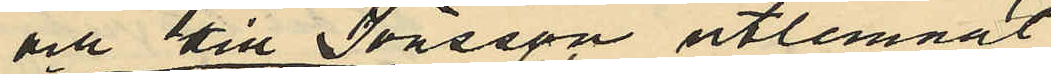och till Jönsson utlemnat
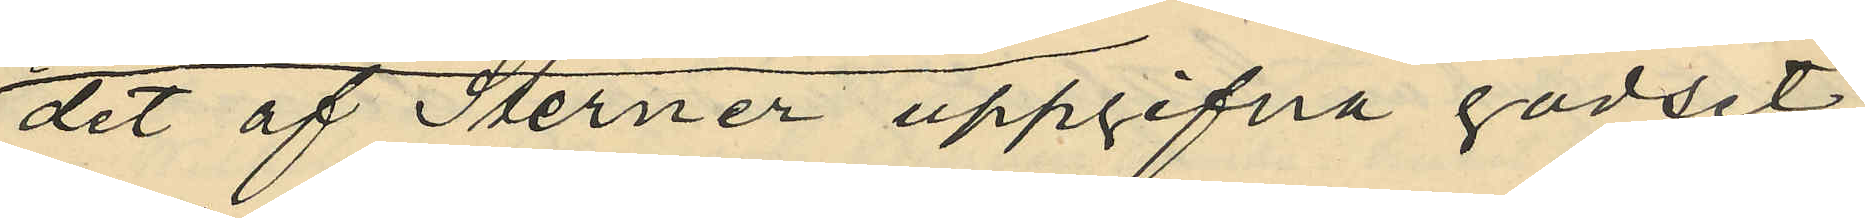det af Sterner uppgifna godset,
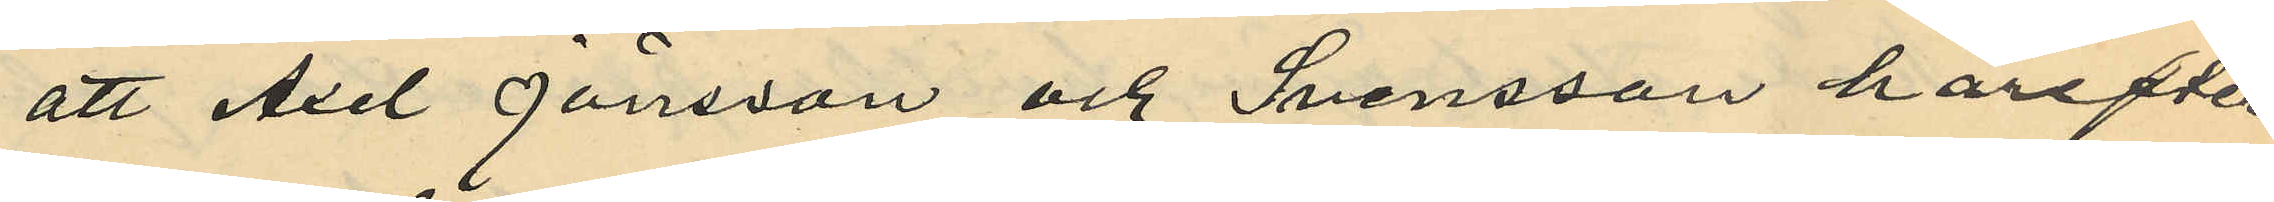att Axel Jönsson och Svensson härefter
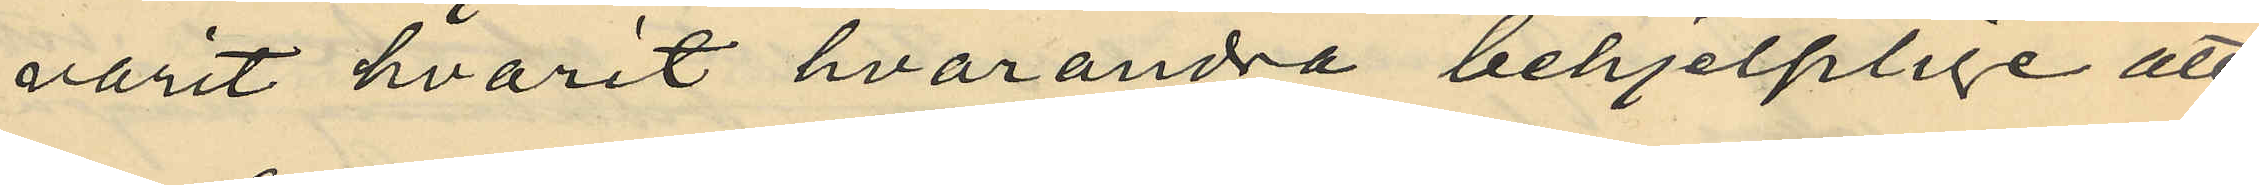varit hvarit hvarandra behjelplige att
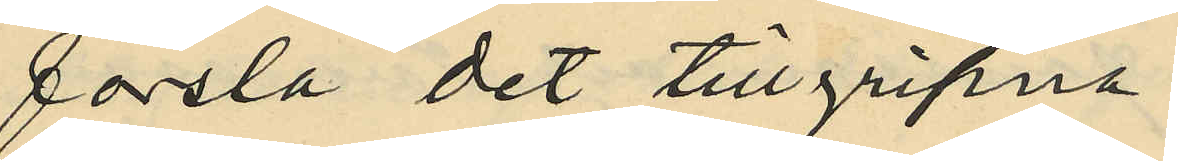forsla det tillgripne
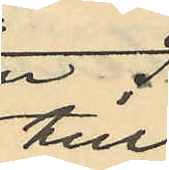till
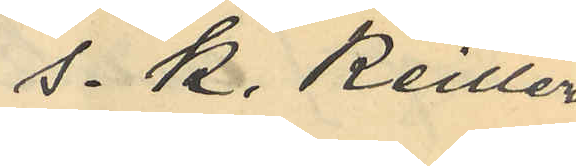s.k. Keillers
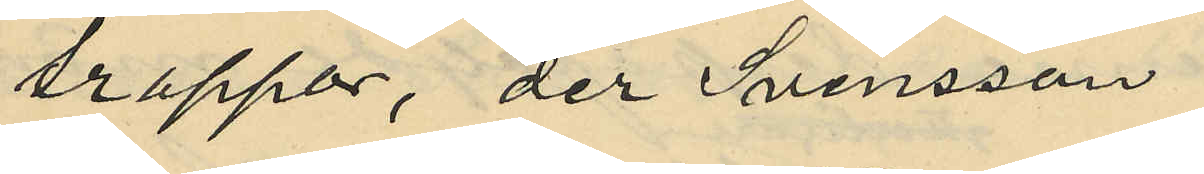trappor, der Svensson
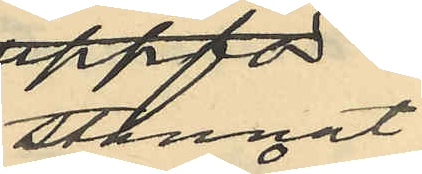stannat
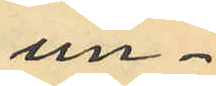und¬
